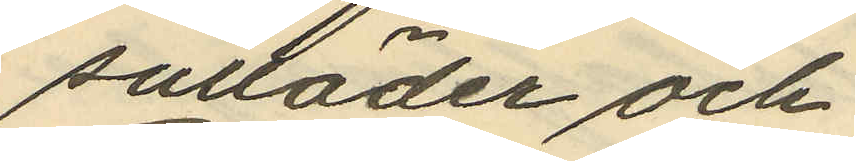sulläder och
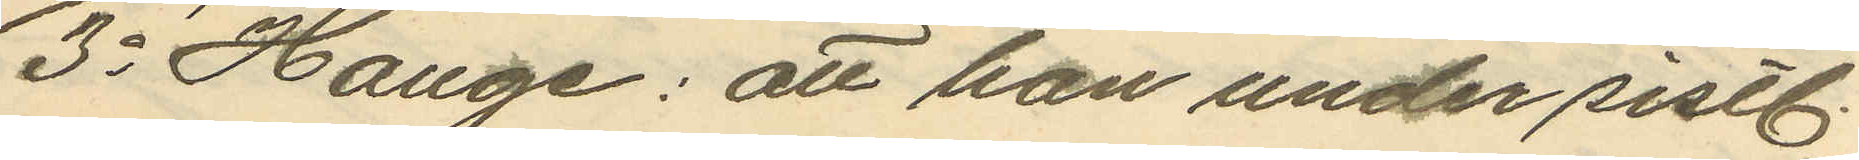3o Hauge: att han under sistl.
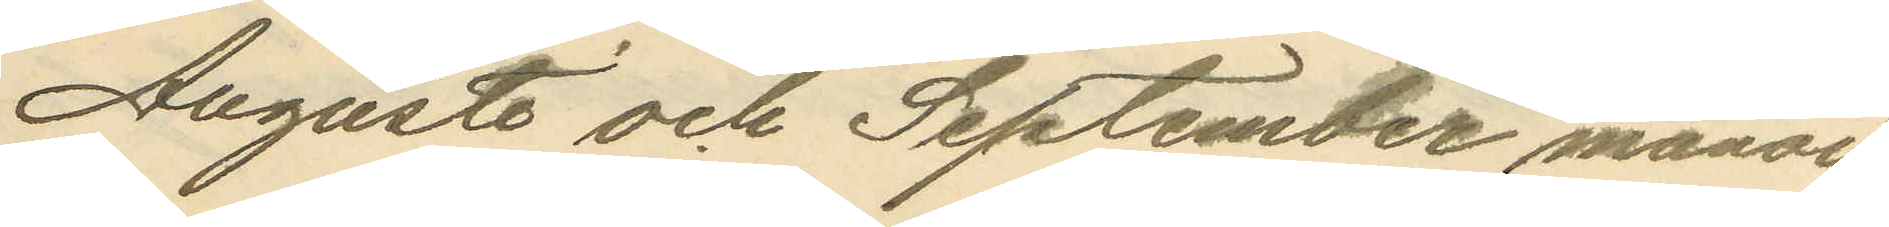Augusti och September månad
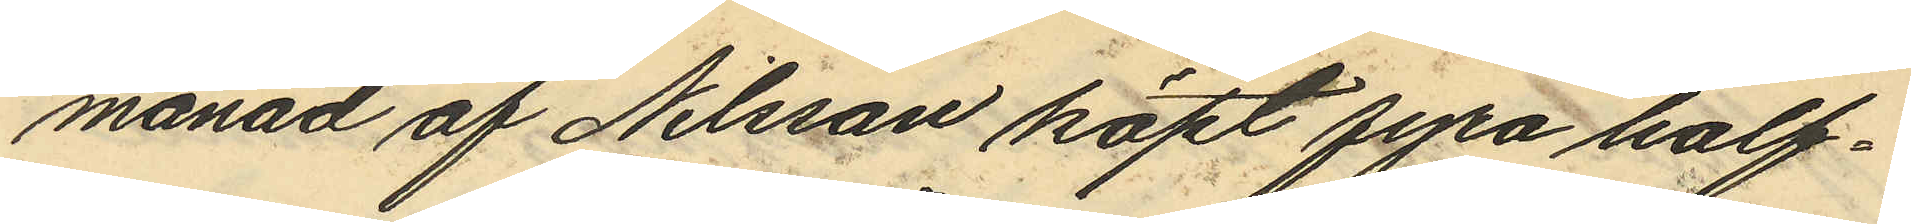månad af Nilsson köpt fyra half¬
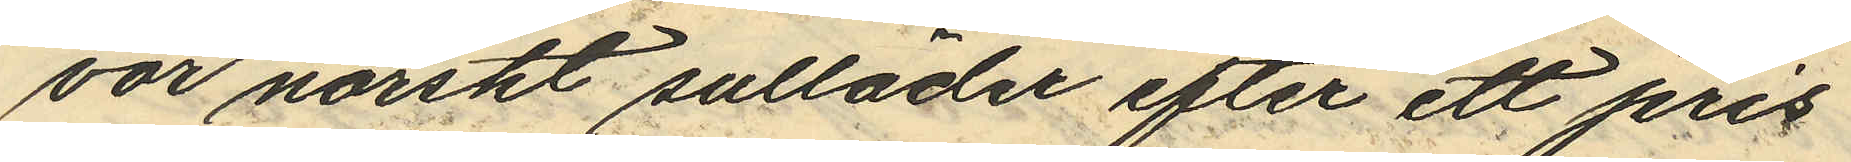vor norskt sulläder efter ett pris
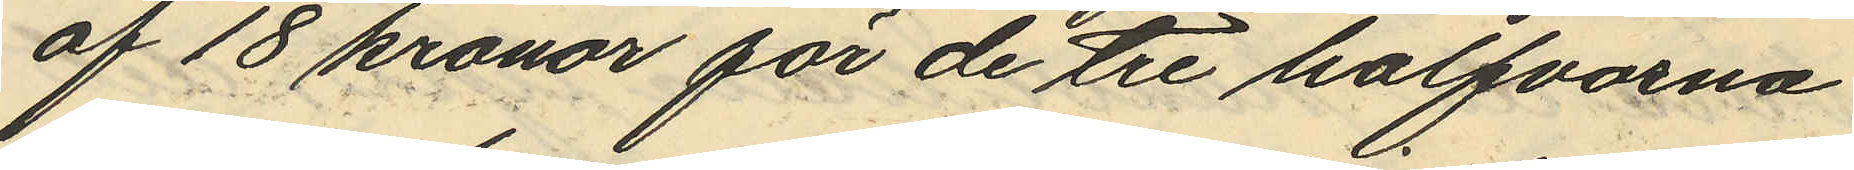af 18 kronor för de tre halfvorna
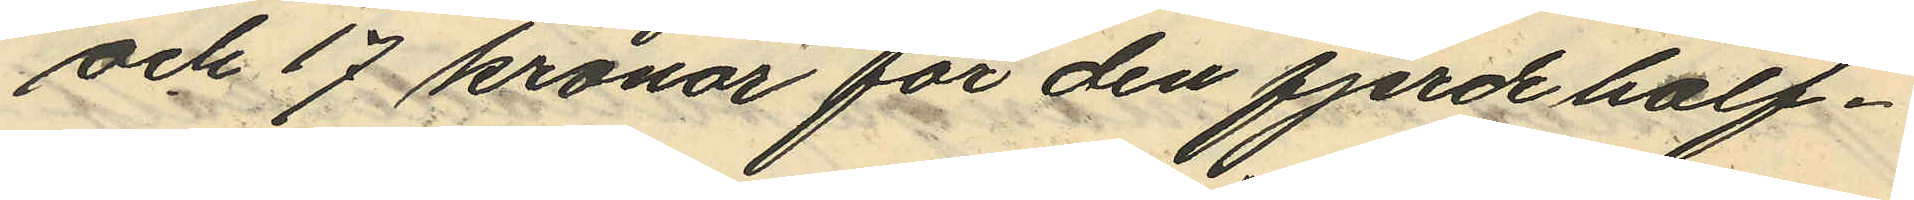och 17 kronor för den fjerde half¬
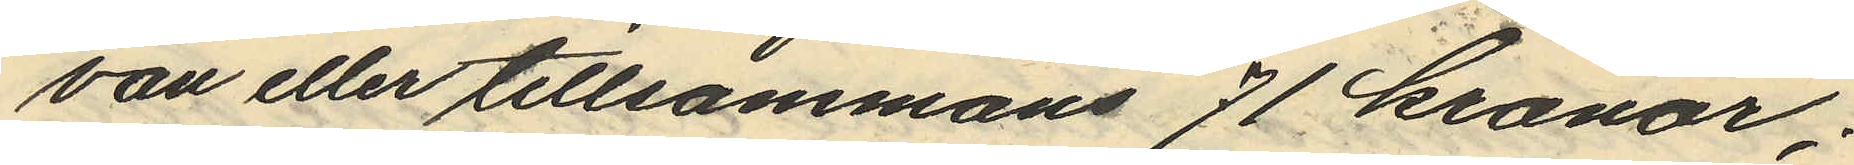van eller tillsammans 71 kronor;
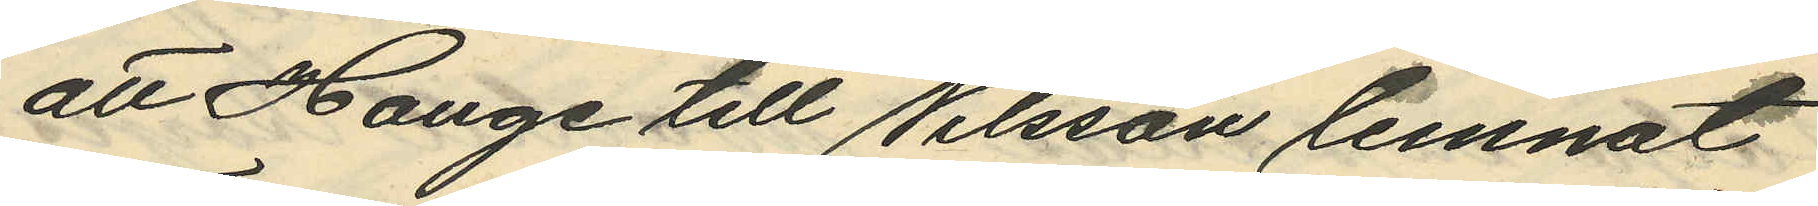att Hauge till Nilsson lemnat
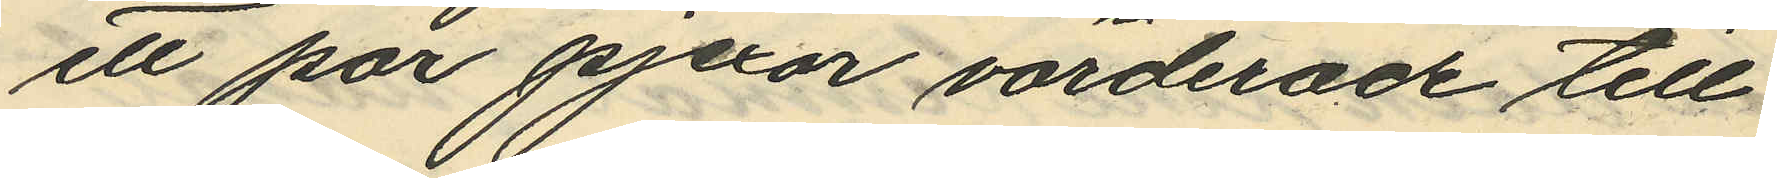ett par pjexor värderade till
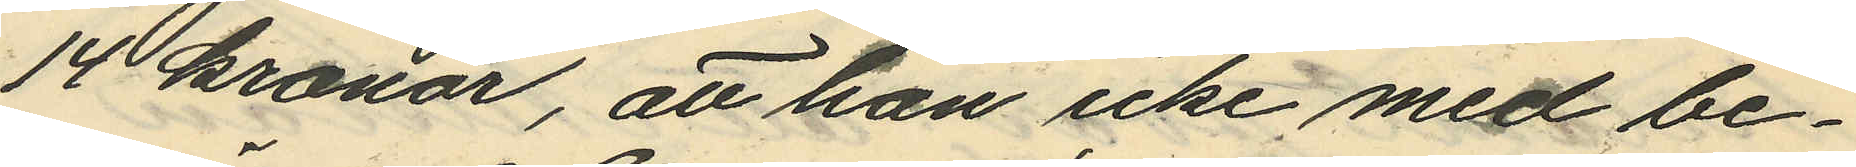14 kronor, att han icke med be¬
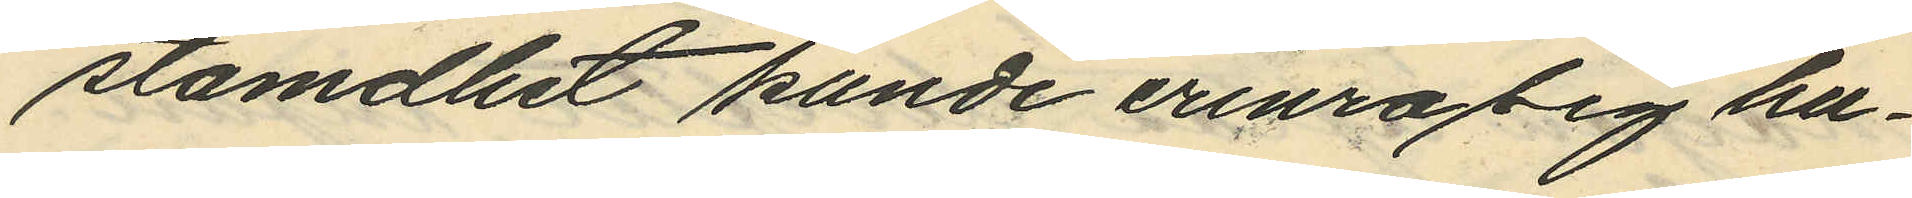stämdhet kunde erinra sig hu¬
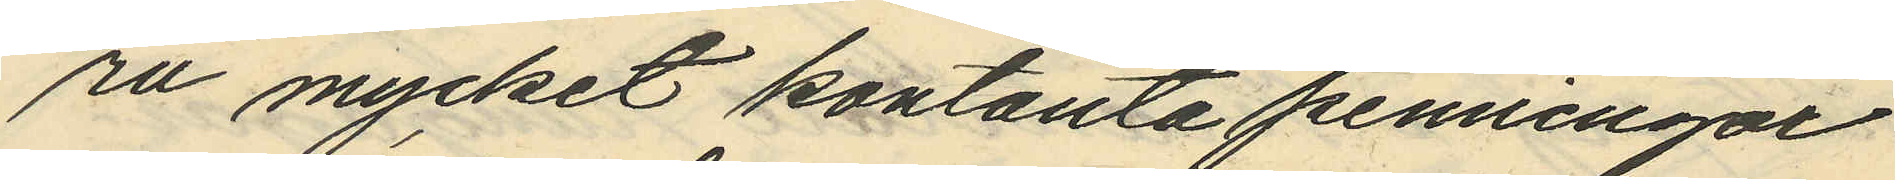ru mycket kontanta penningar
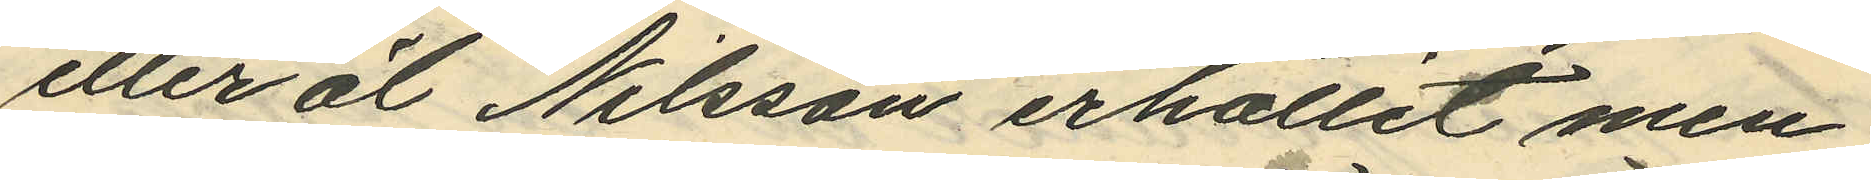eller öl Nilsson erhållit men
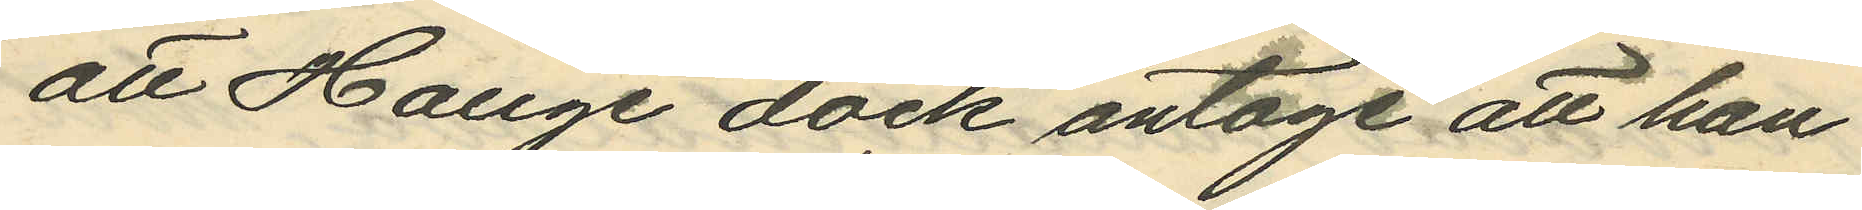att Hauge dock antoge att han
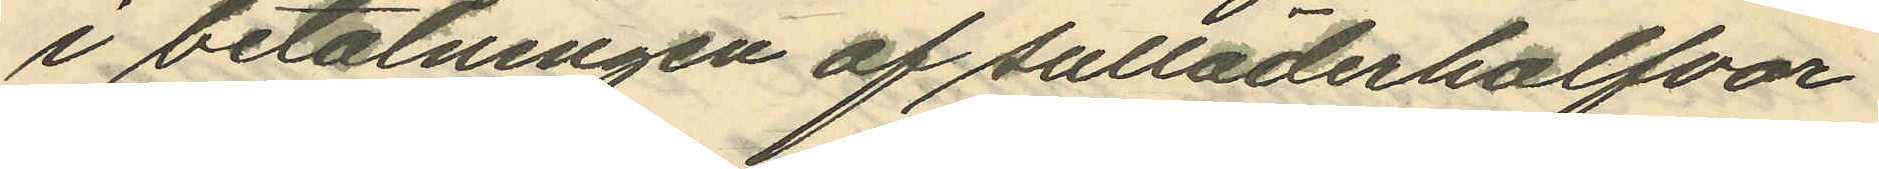i betalningen af sulläderhalfvor
